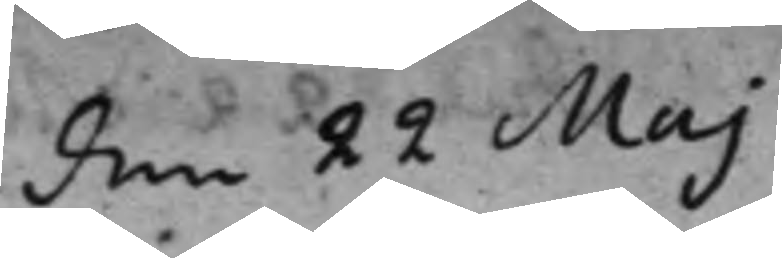den 22 Maj
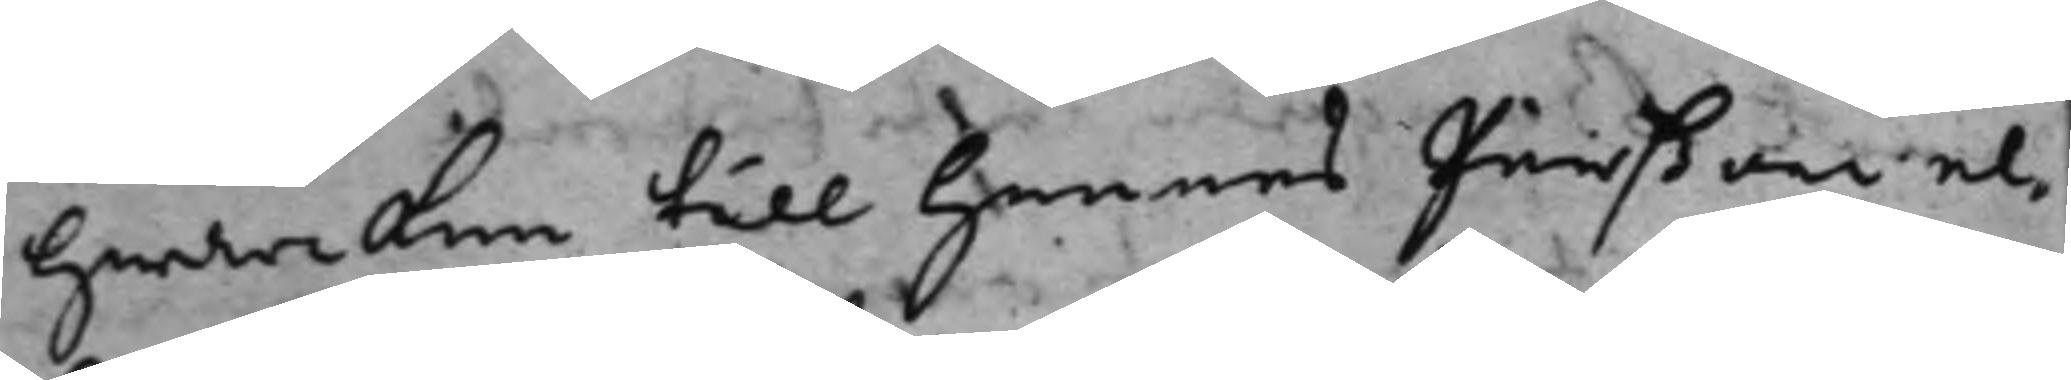hwarken till hennes pärßon el¬
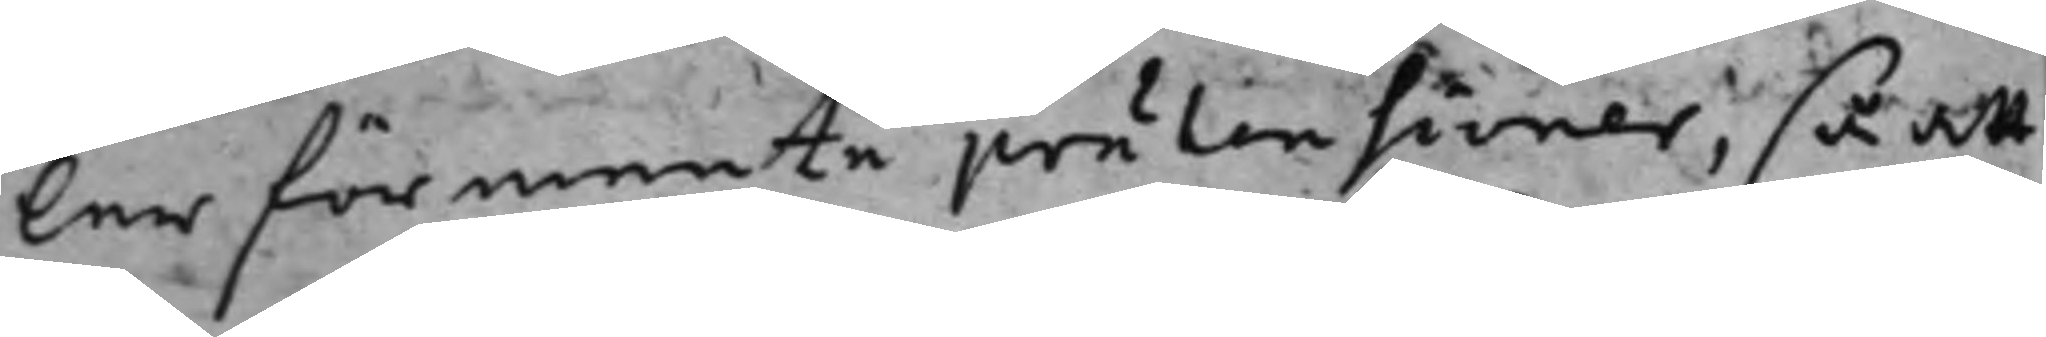ler förmente prätensioner, så att
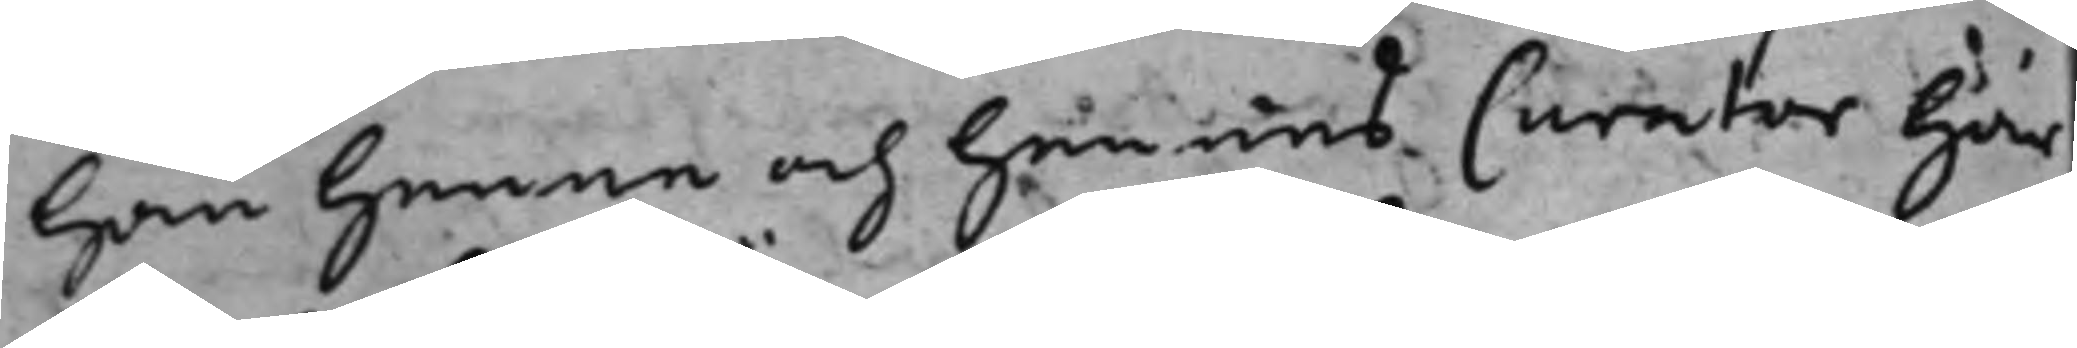han henne och hennes Curator här
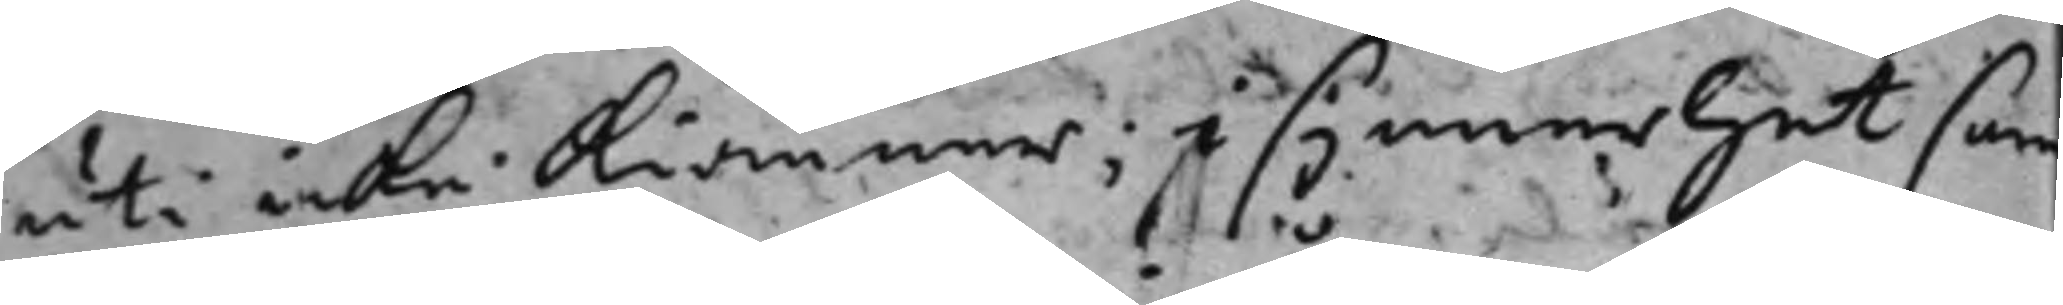uti icke kiänner; i synnerhet som
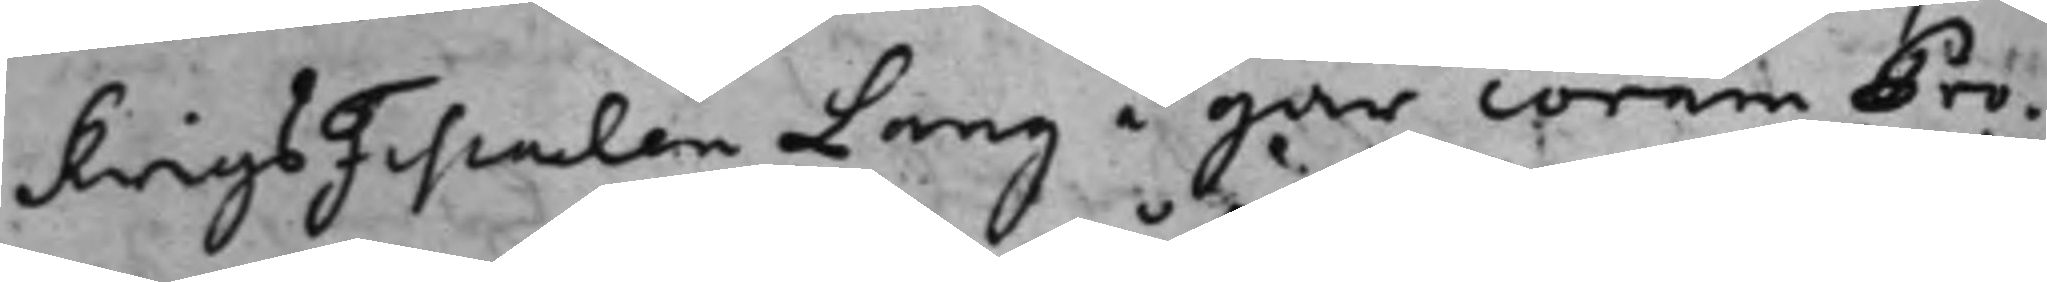KrigsFiskalen Lang i går corem Pro¬
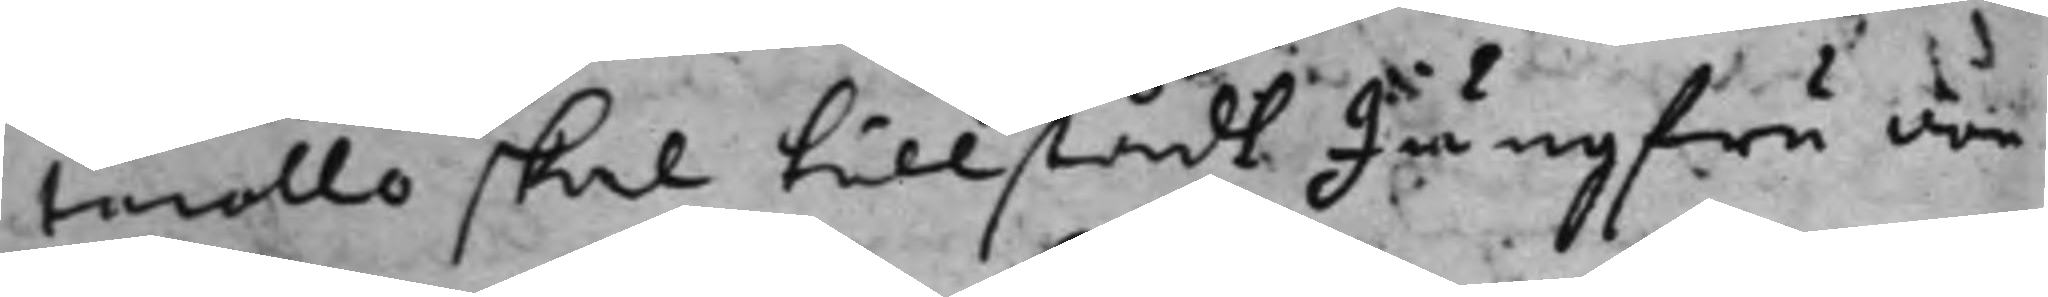tocollo skal tillstådt Jungfru von
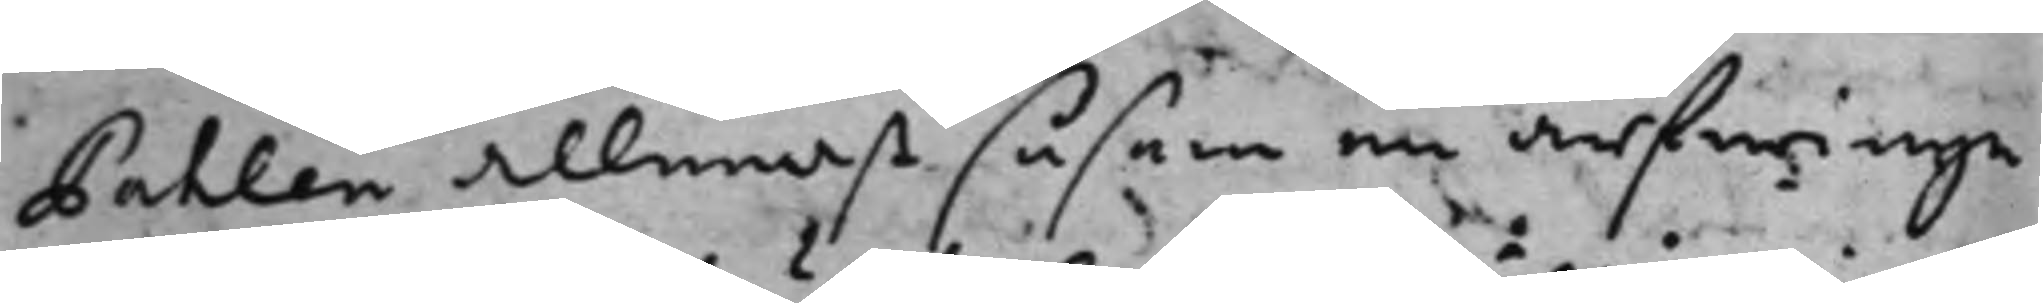Pahlen allenast såsom en arfwinge
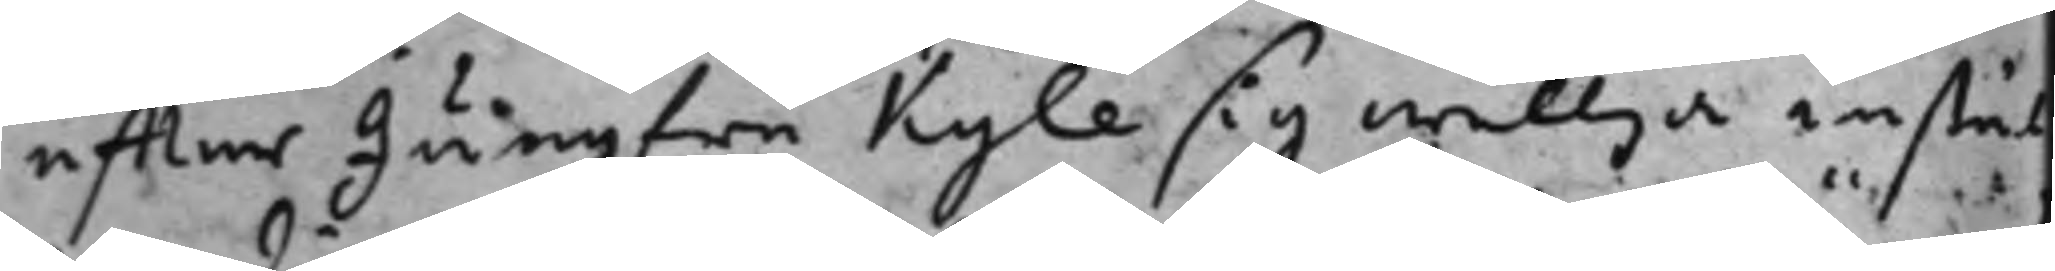effter Jungfru Kyle sig willja instäl¬
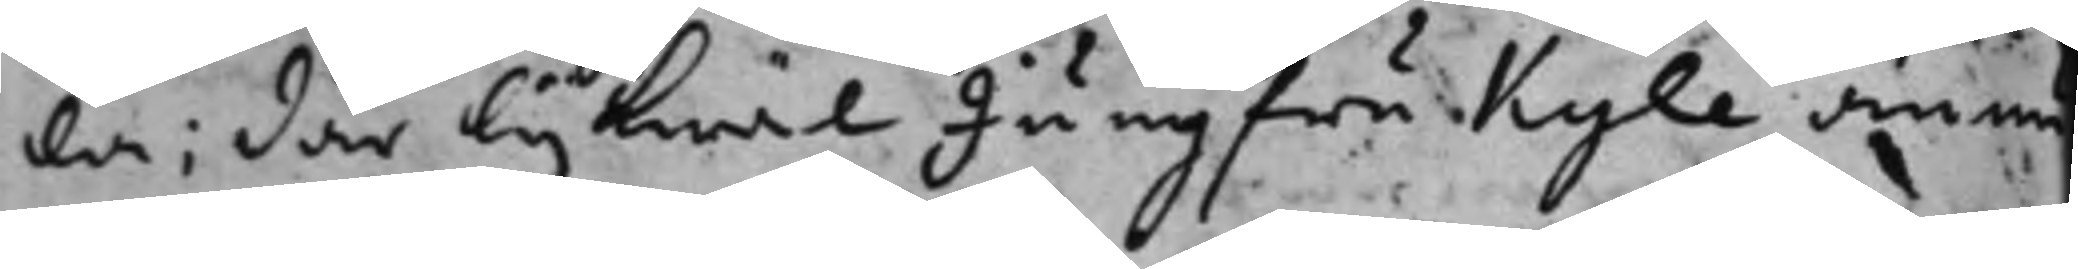la; där lijkwäl Jungfru Kyle ännu
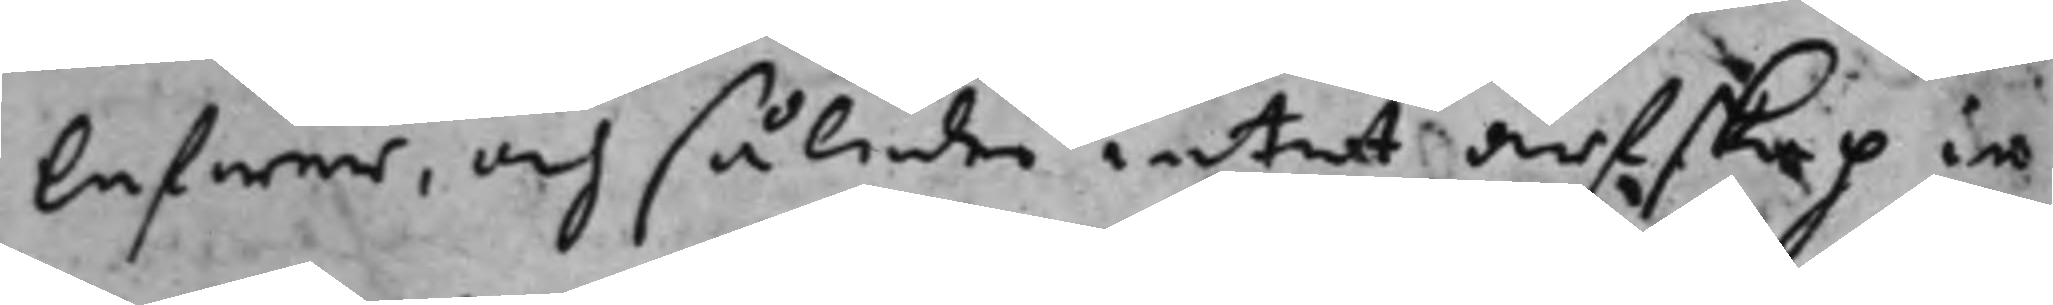lefwer, och således intet arfskap in
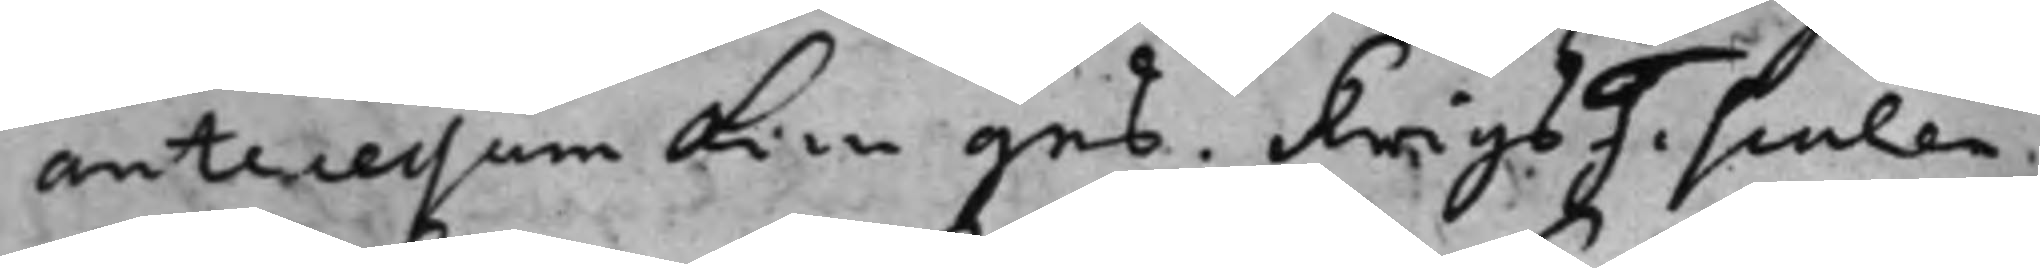antecessum kan ges. KrigsFiscalen
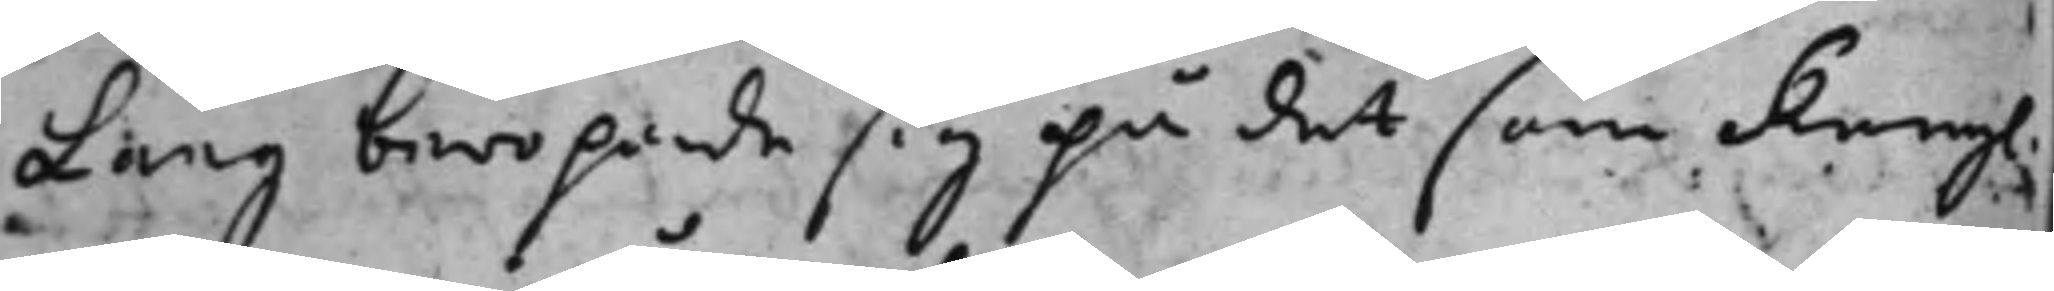Lang beropade sig på det som Kongl.
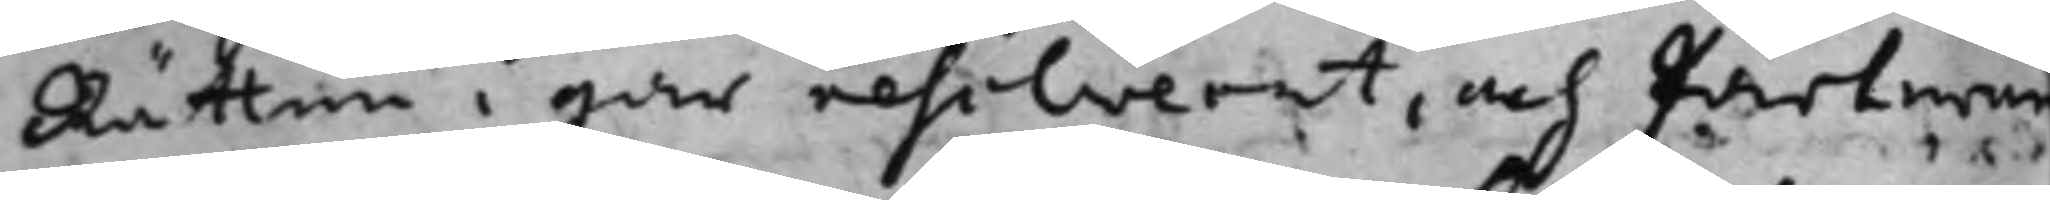Rätten i går resolverat, och parterne
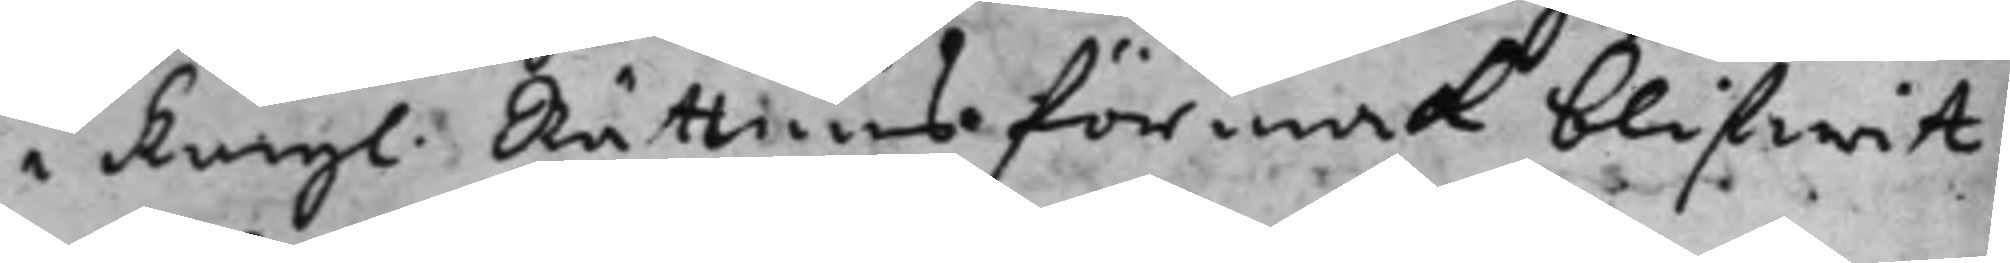i Kongl. Rättens förmak blifwit
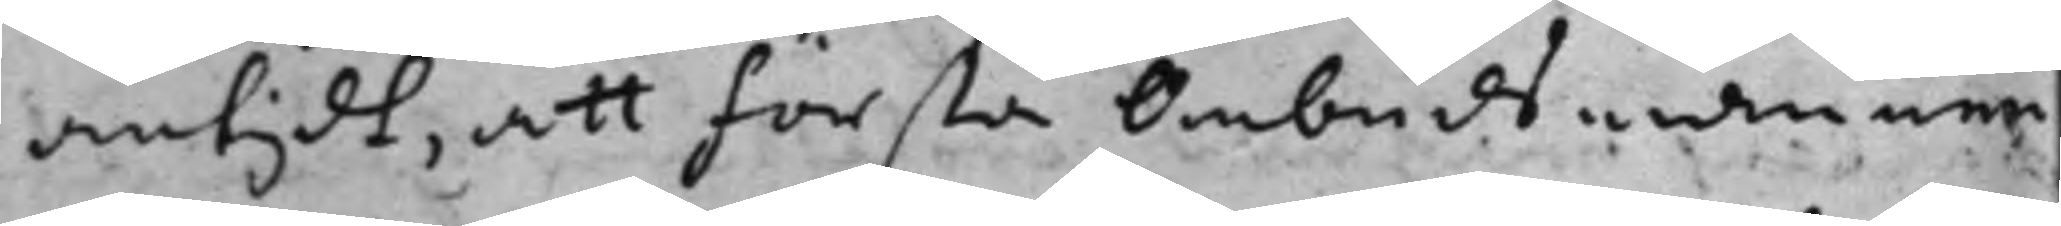antydt, att första Ombudsmann
